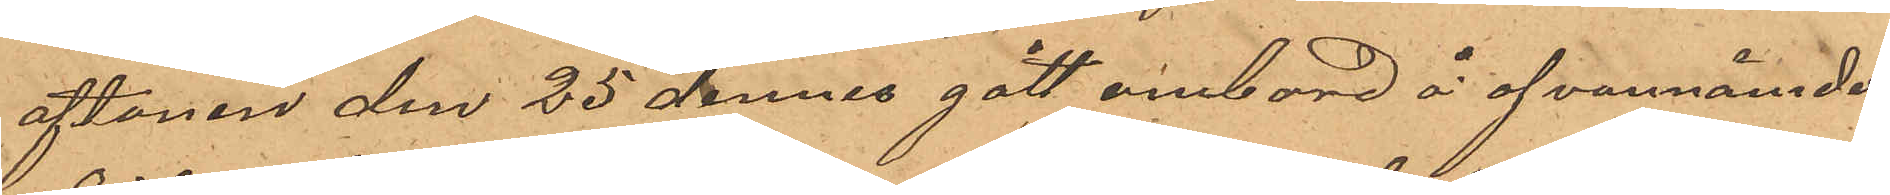aftonen den 25 dennes gått ombord å ofvannämnde
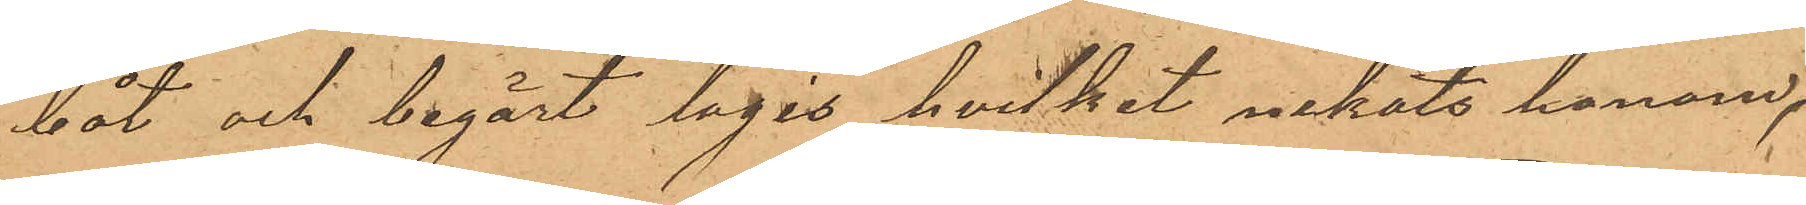båt och begärt logis, hvilket nekats honom,
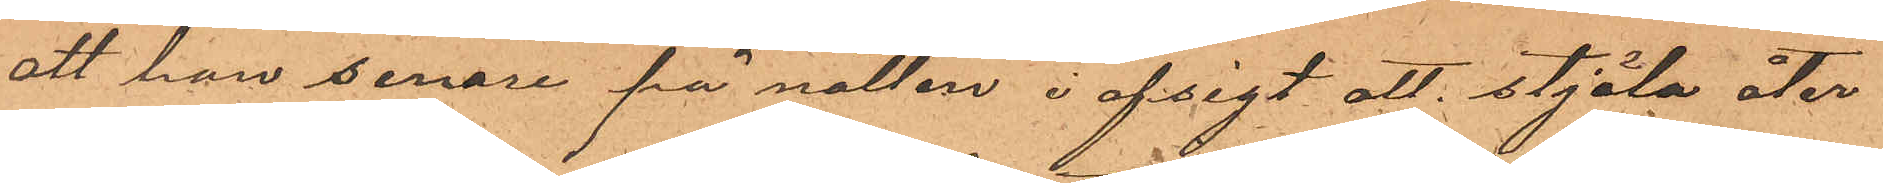att han senare på natten i afsigt att stjäla åter
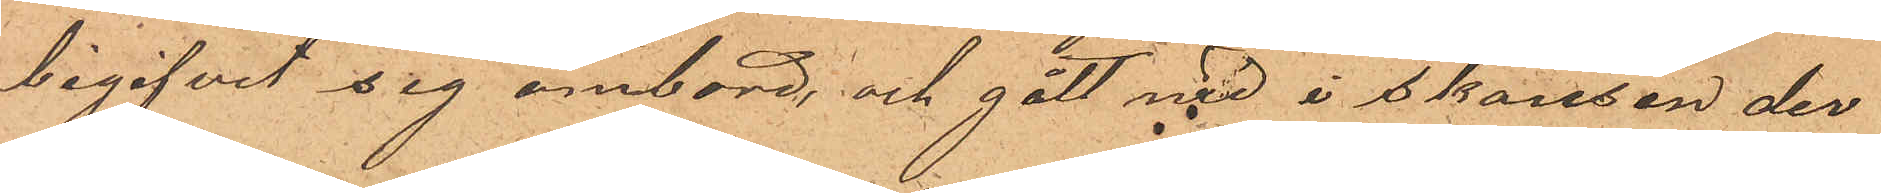begifvit sig ombord; och gått med i skansen der
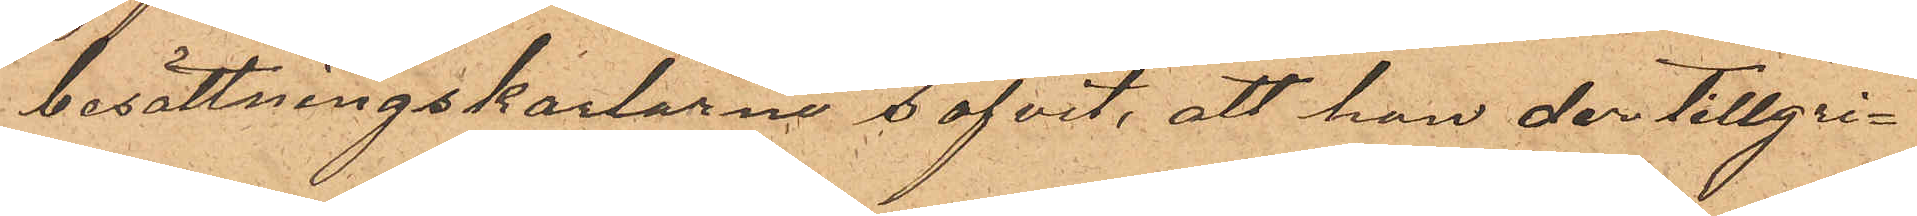besättningskarlarne sofvit, att han der tillgri¬
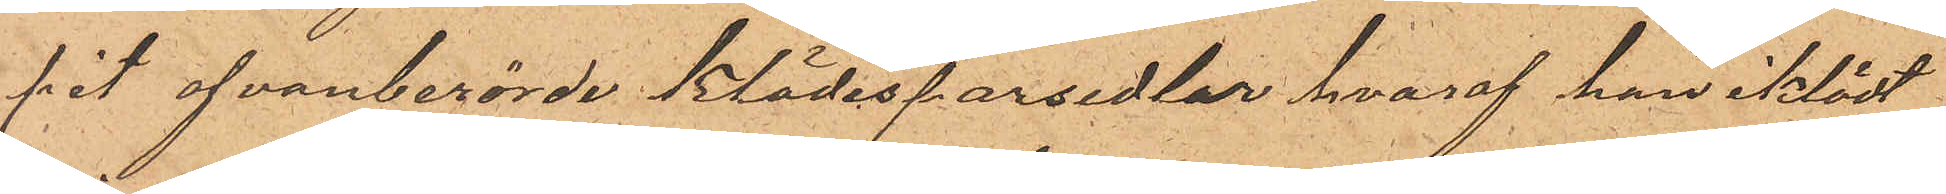pit ofvanberörde klädespersedlar hvaraf han iklädt
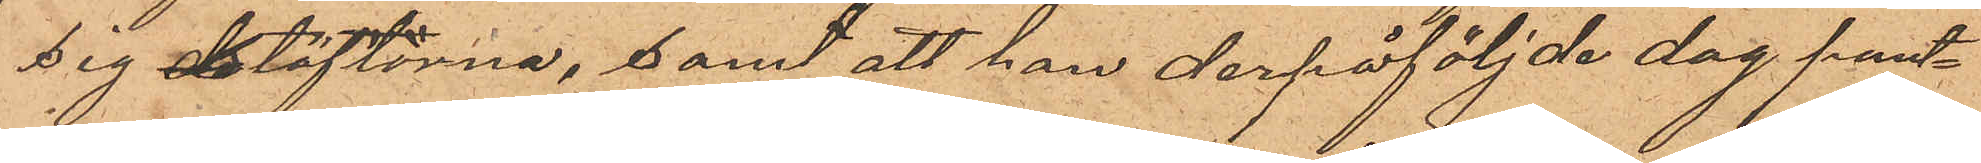sig stöflorna, samt att han derpåföljde dag pant¬
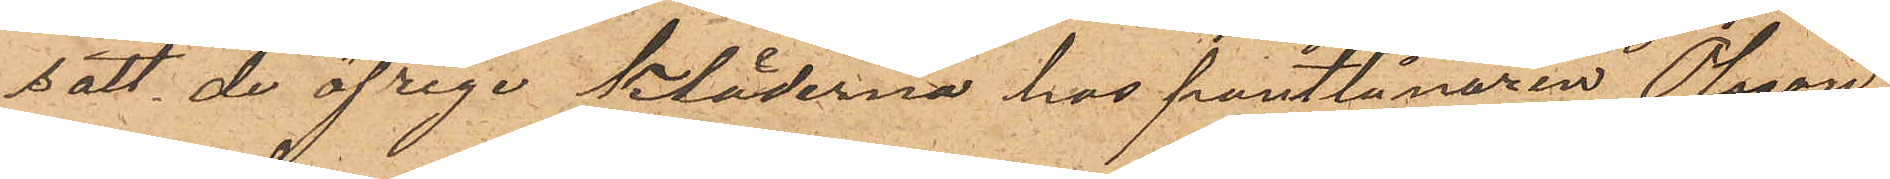satt de öfrige kläderna hos pantlånaren Olsson
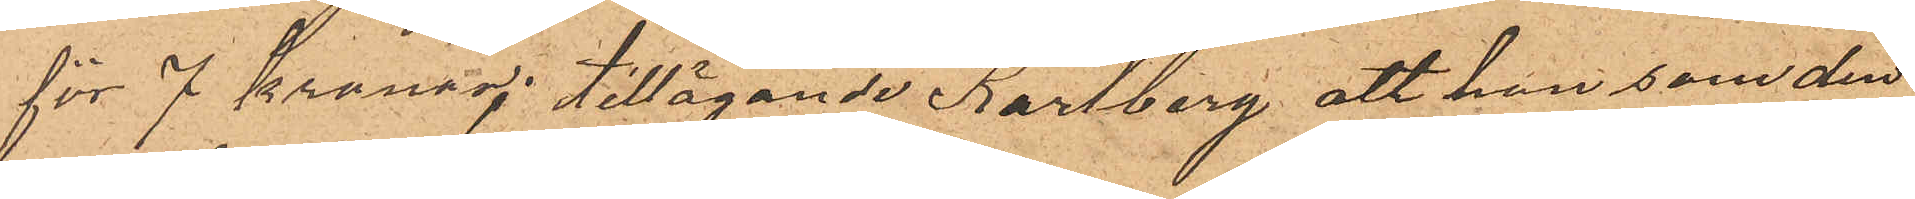för 7 kronor; tillägande Karlberg, att han, som den
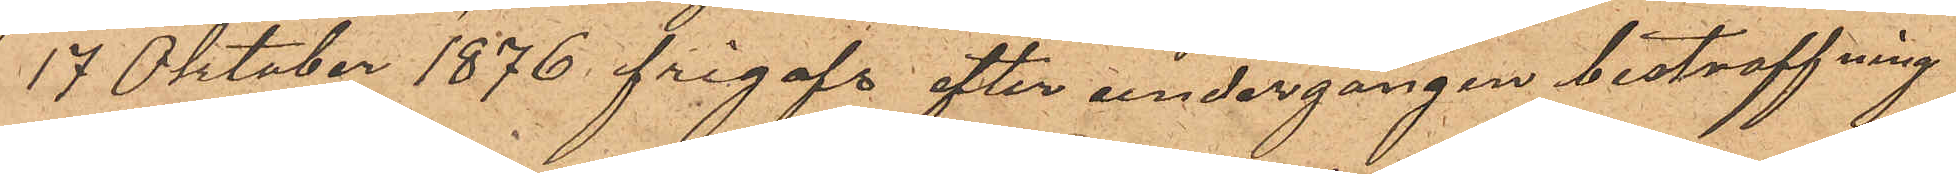17 Oktober 1876 frigafs efter undergången bestraffning
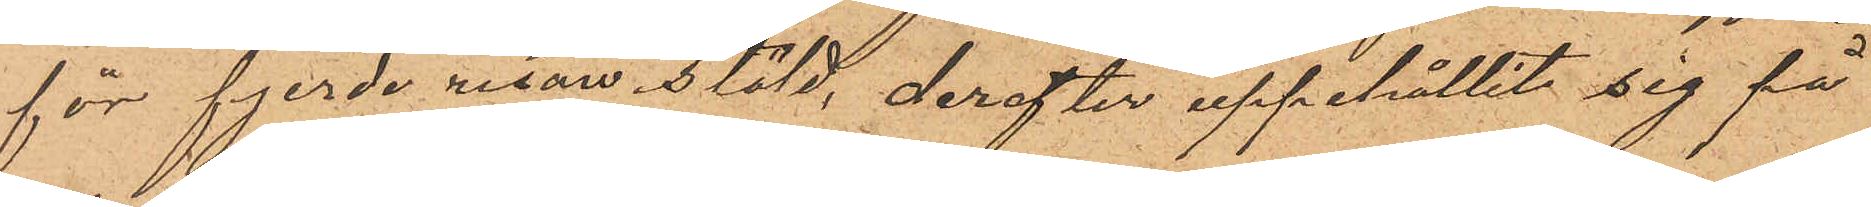för fjerde resan stöld, derefter uppehållit sig få
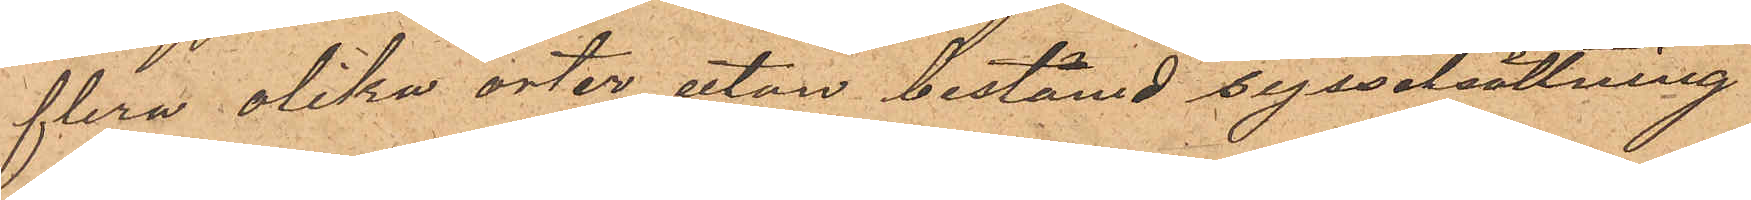flera olika orter utan bestämd sysselsättning
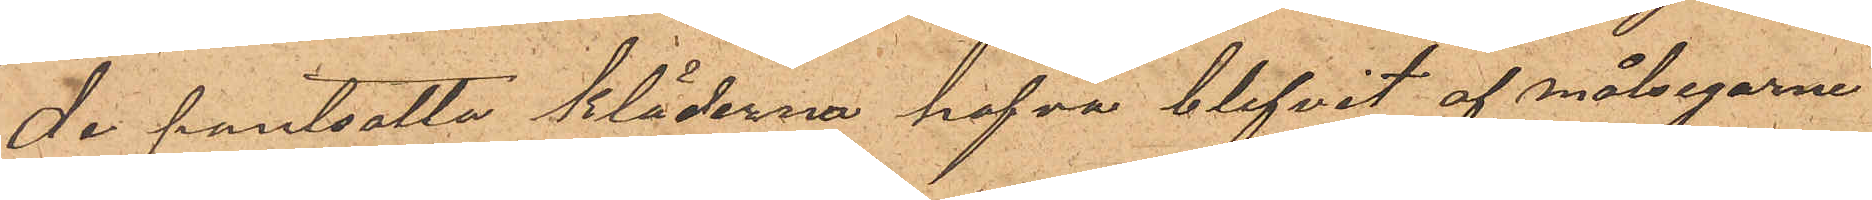De pantsatta kläderna hafva blifvit af målsegarne
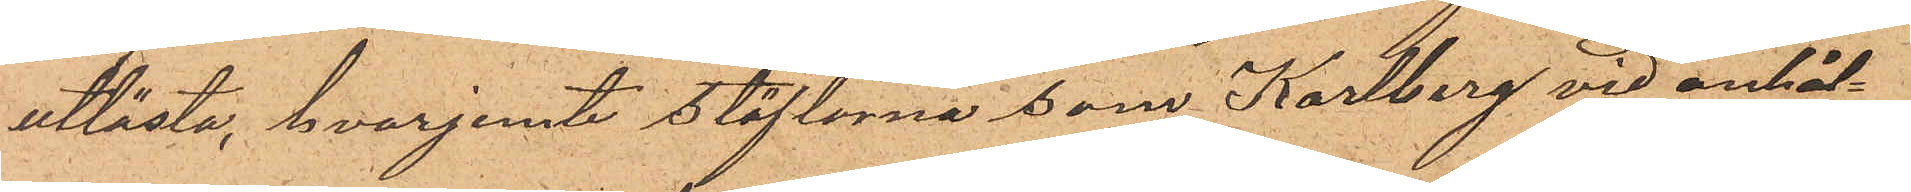utlösta, hvarjemte stöflorna som Karlberg vid anhål¬
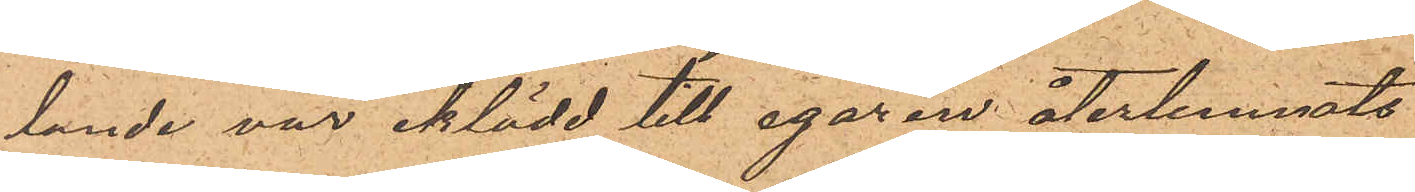lande var iklädd till egaren återlemnats.
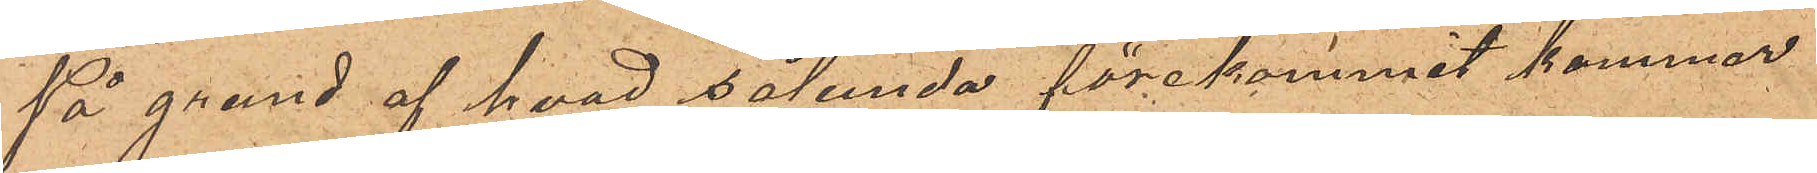På grund af hvad sålunda förekommit kommer
